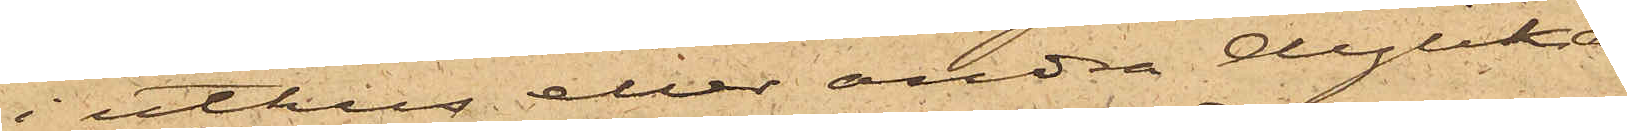i uthus eller andra dylika
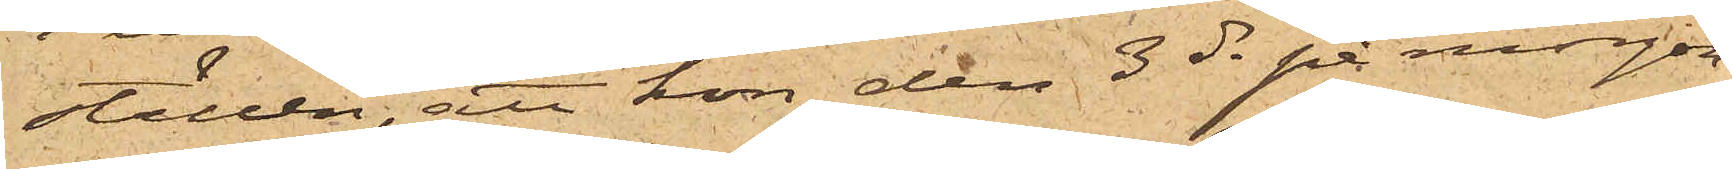ställen, att hon den 3 ds på morgon
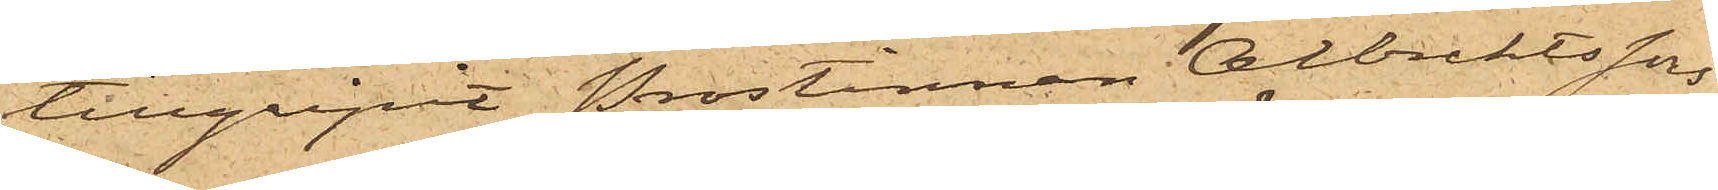tillgripit prostinnan Albrektssons
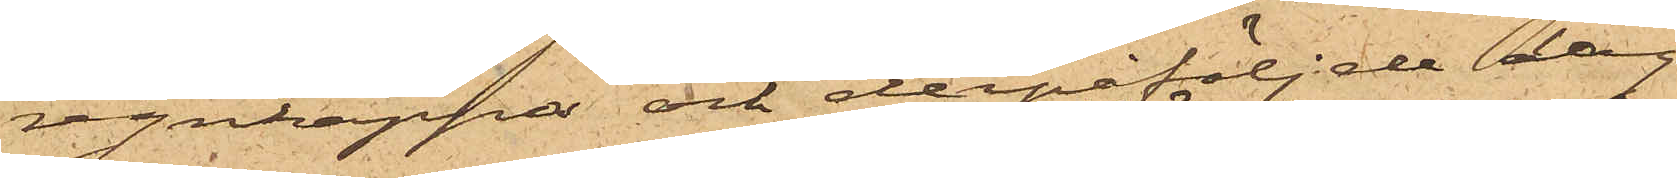regnkappa och derpåföljde dag
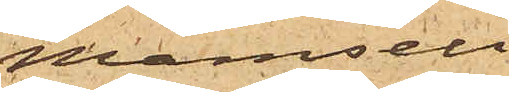Mamsell
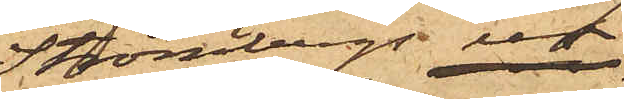Strömbergs ur
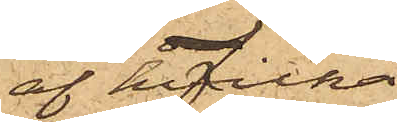af hvilka
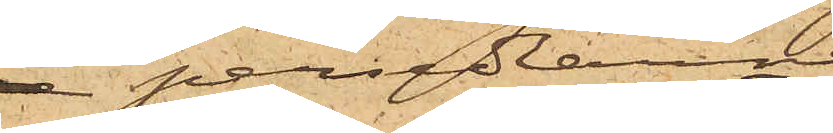 persedlarne
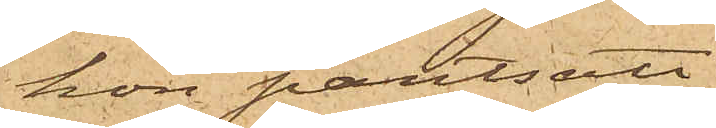hon pantsatt
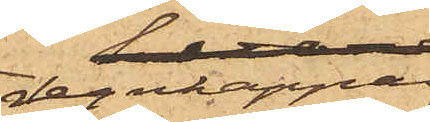regnkappan
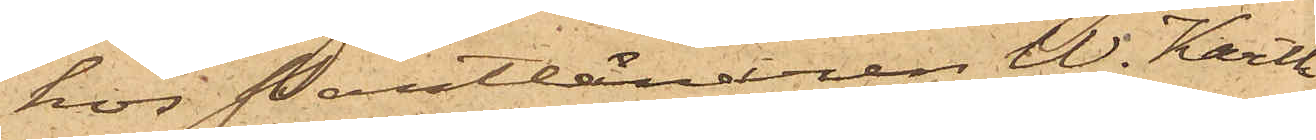hos Pantlånaren W. Karth
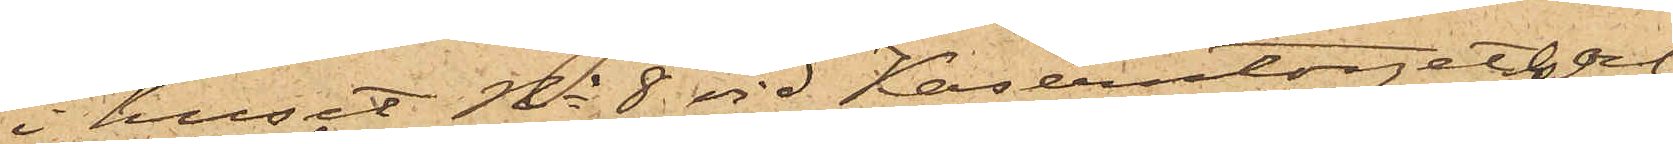i huset No 8 vid Kaserntorget och
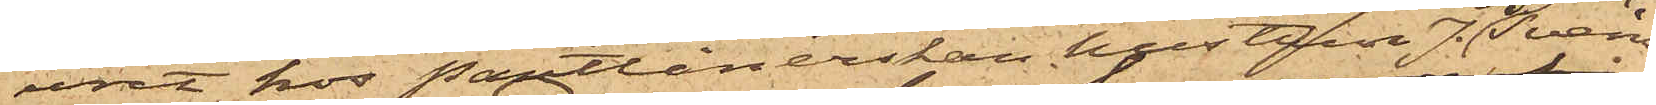uret hos Pantlånerskan hustrun J. G. Svens¬
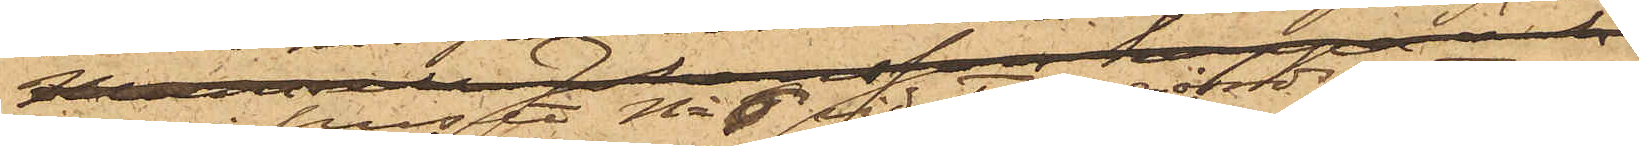son i huset No 6 vid Tyggårdsgatan
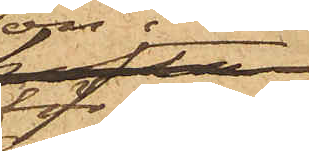för 12 rdr.
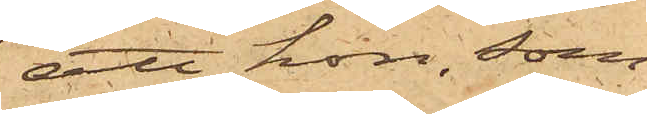; att hon, som
